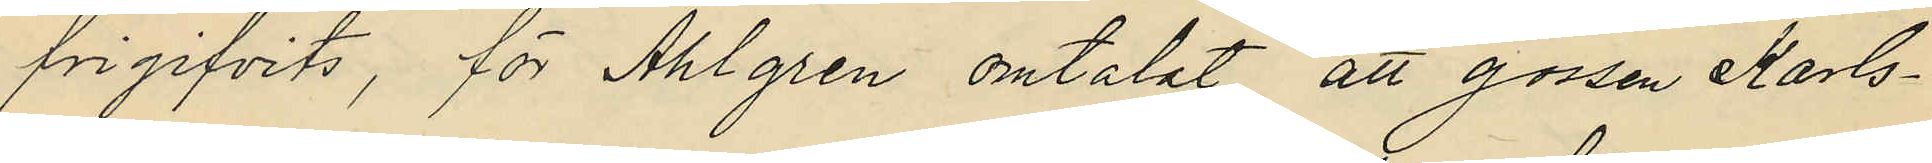frigifvits, för Ahlgren omtalat att gossen Karls¬
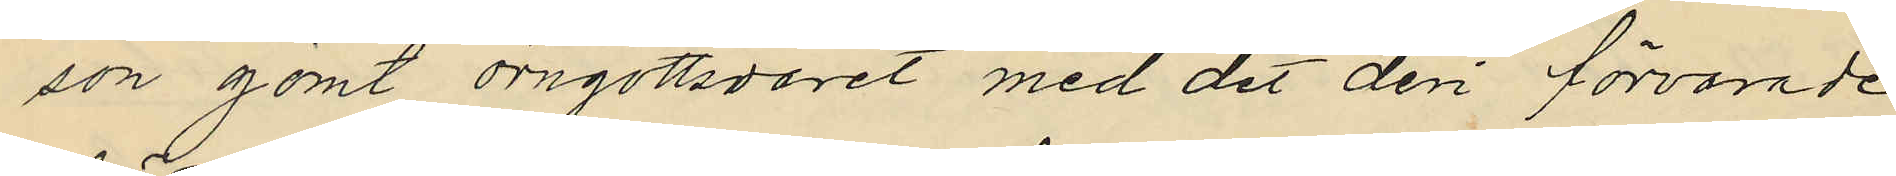son gömt örngottsvaret med det deri förvarade
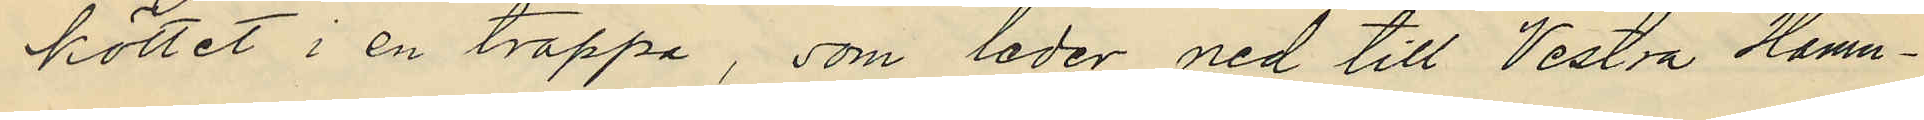köttet i en trappa, som leder ned till Vestra Hamn¬
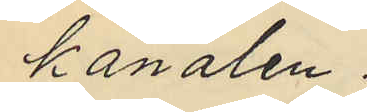kanalen.
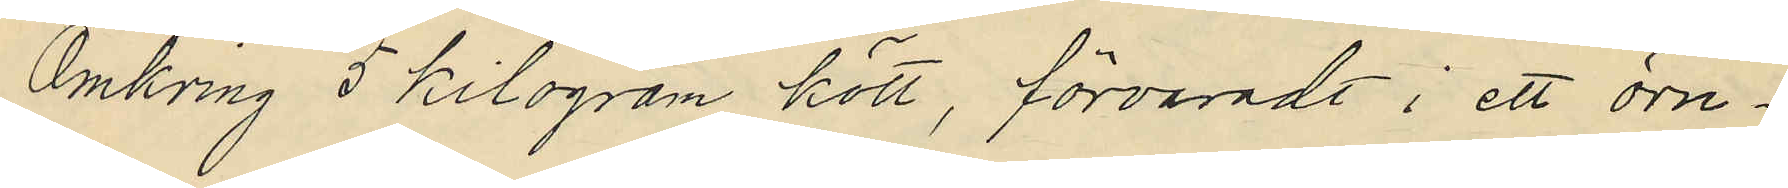Omkring 5 kilogran kött, förvaradt i ett örn¬
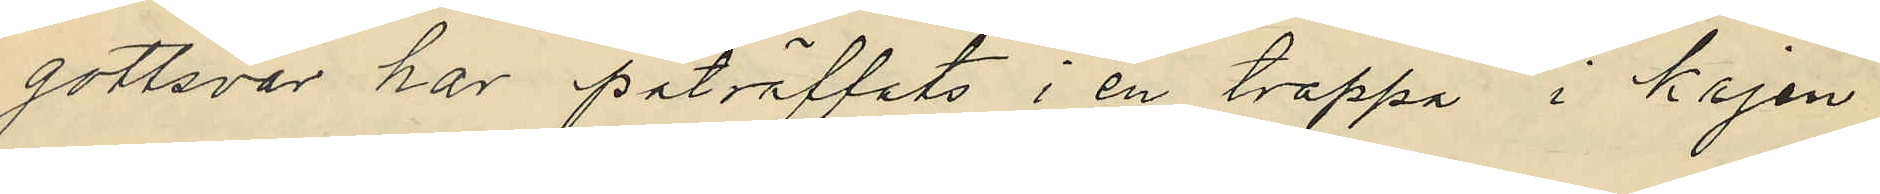gottsvar har påträffats i en trappa i kajen
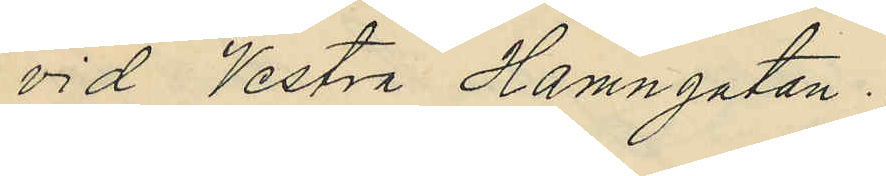vid Vestra Hamngatan.
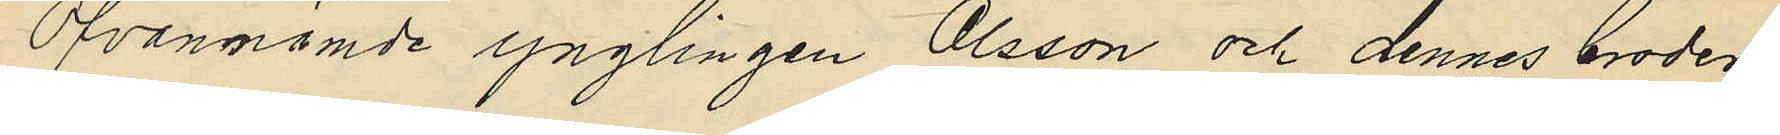Ofvannämde ynglingen Olsson och dennes broder
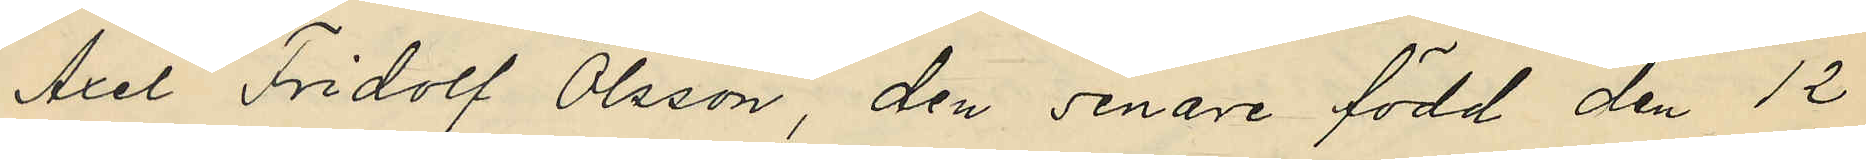Axel Fridolf Olsson, den senare född den 12
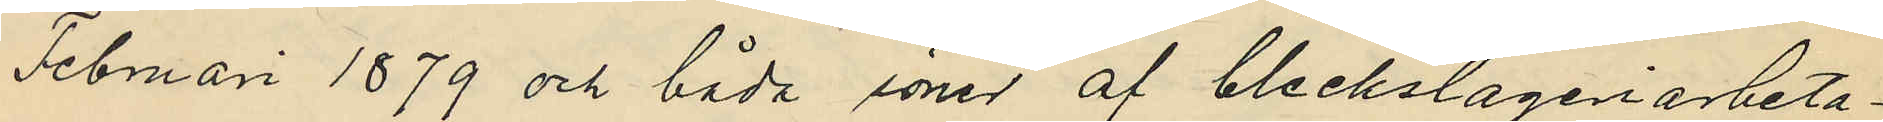Februari 1879 och båda söner af bleckslageriarbeta¬
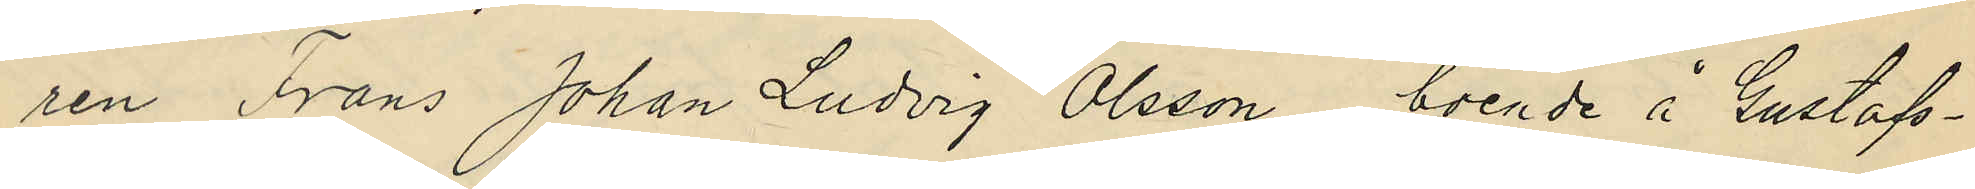ren Frans Johan Ludvig Olsson, boende å Gustafs¬
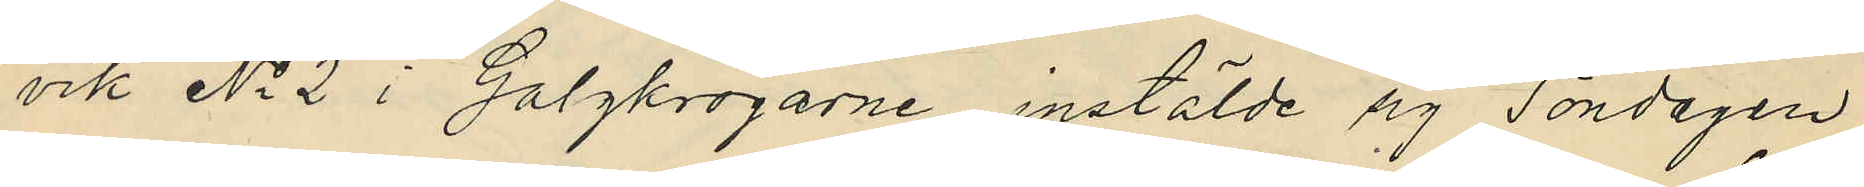vik No 2 i Galgkrogarne, instälde sig Söndagen
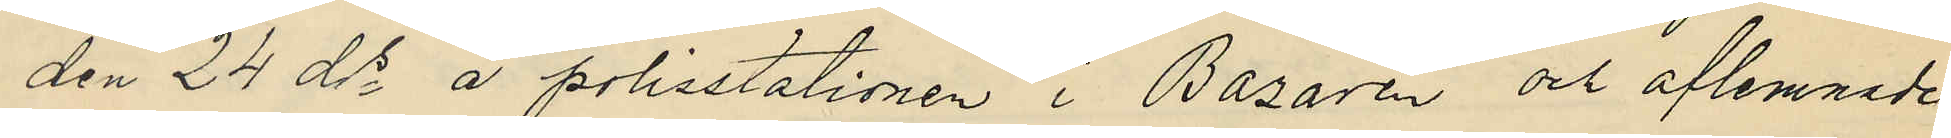den 24 ds å polisstationen i Bazaren och aflemnade
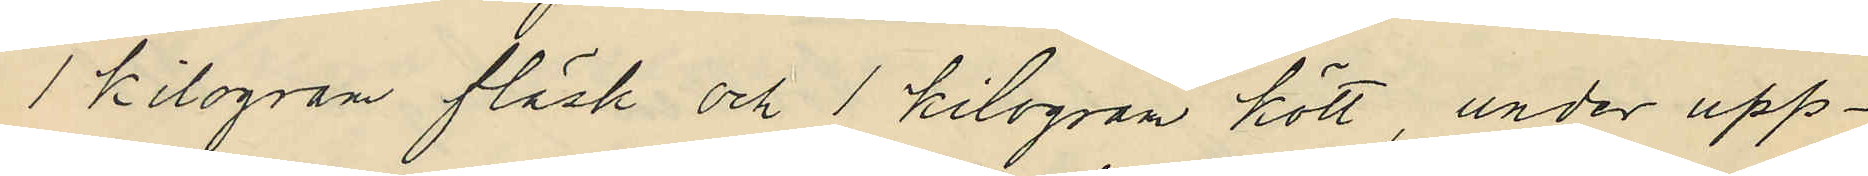1 kilogram fläsk och 1 kilogram kött, under upp¬
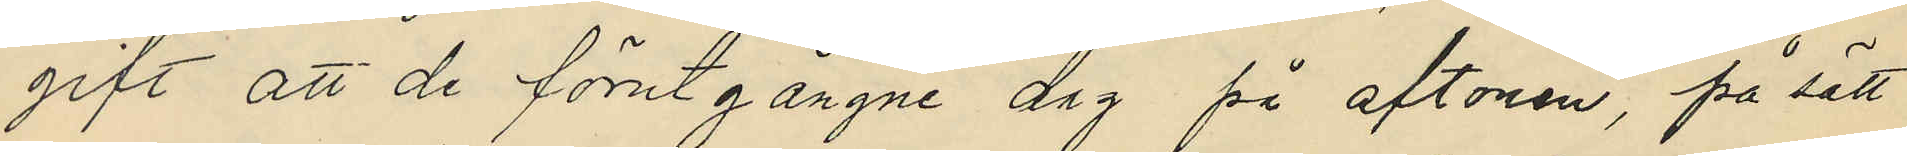gift att de förutgångne dag på aftonen, på sätt
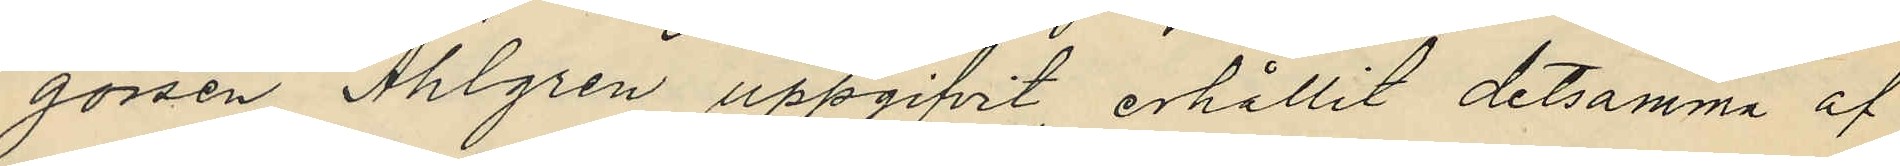gossen Ahlgren uppgifvit, erhållit detsamma af
